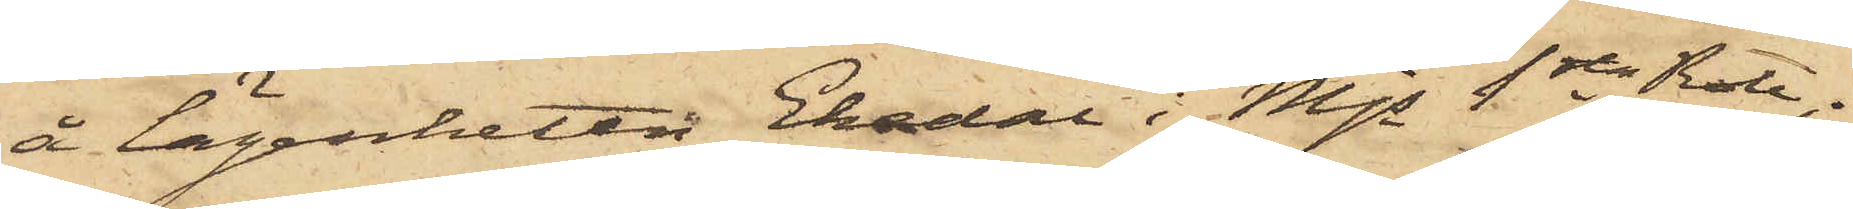å lägenheten Ekedal i Mjs 1sta Rote;
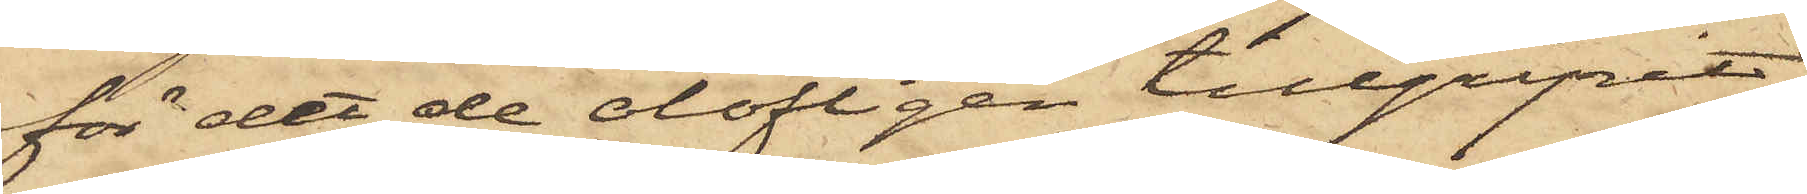för det de olofligen tillgripit
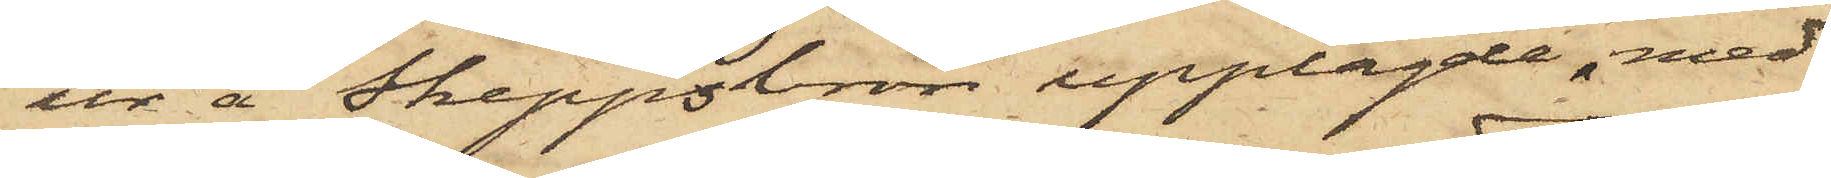ur å Skeppsbron upplagde, med
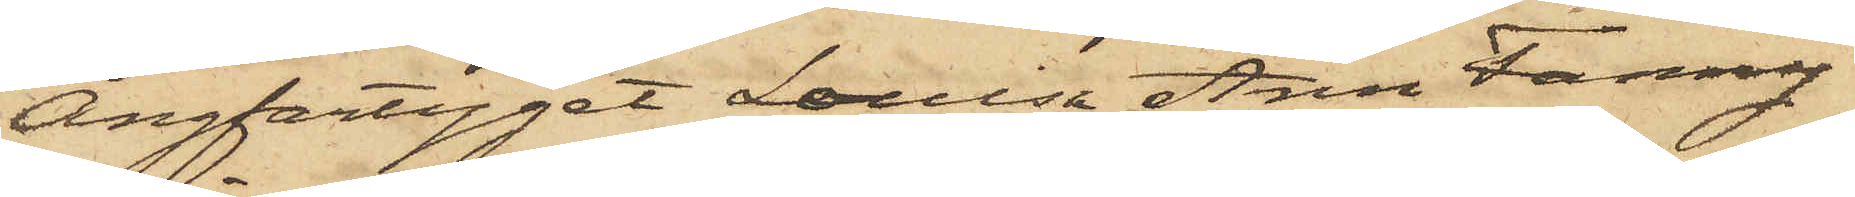Ångfartyget Louisa Ann Fanny
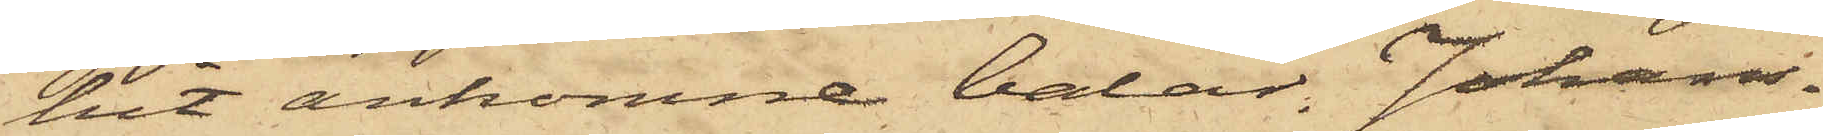hit ankomne balar. Johans¬
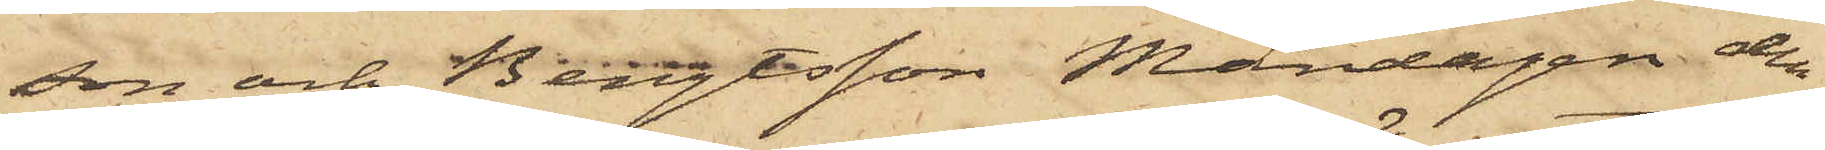son och Bengtsson Måndagen den
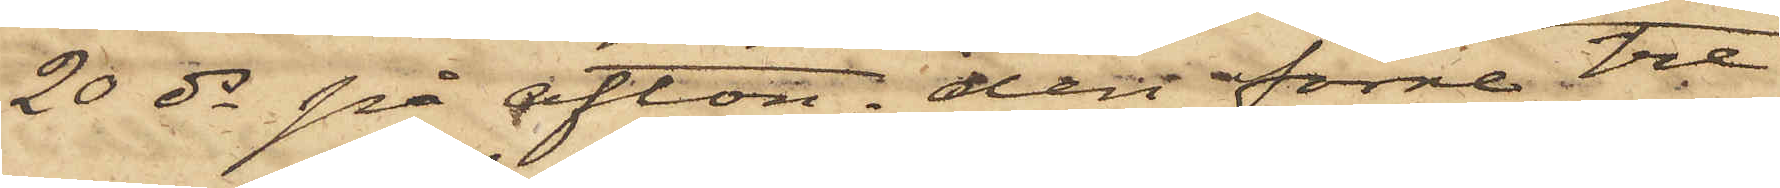20 ds på afton, den förre tre
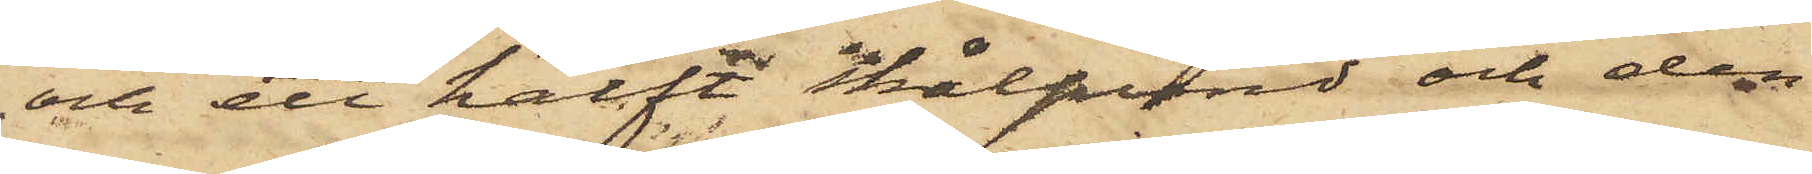och ett halft skålpund och den
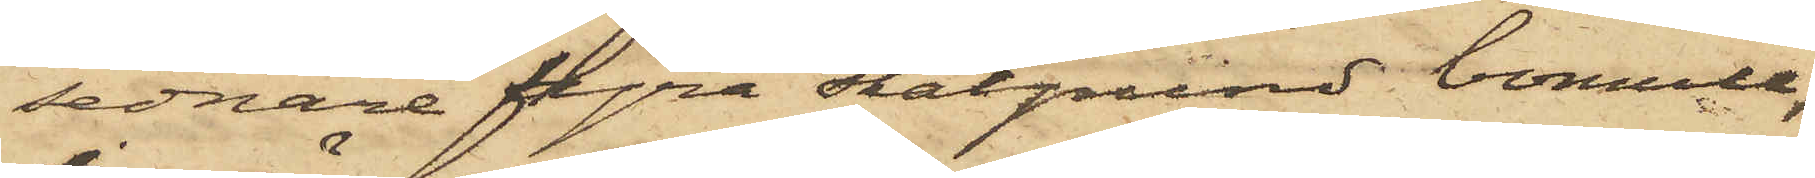sednare fyra skålpund bomull,
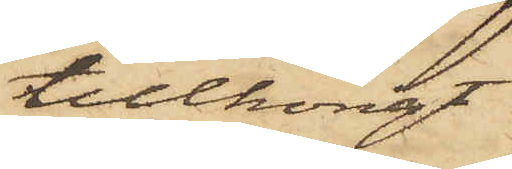tillhörigt
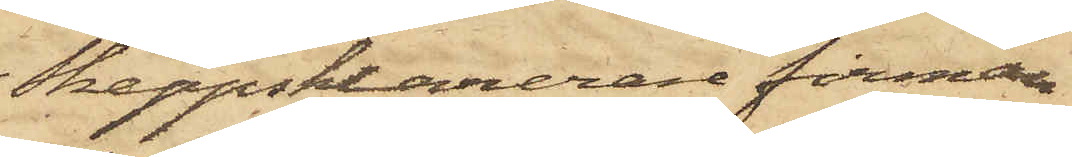Skeppsklarerarefirman
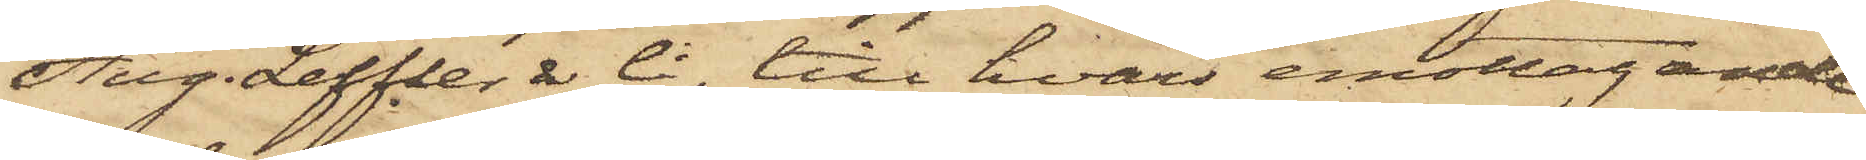Aug. Leffler & Ci, till hvars emottagande
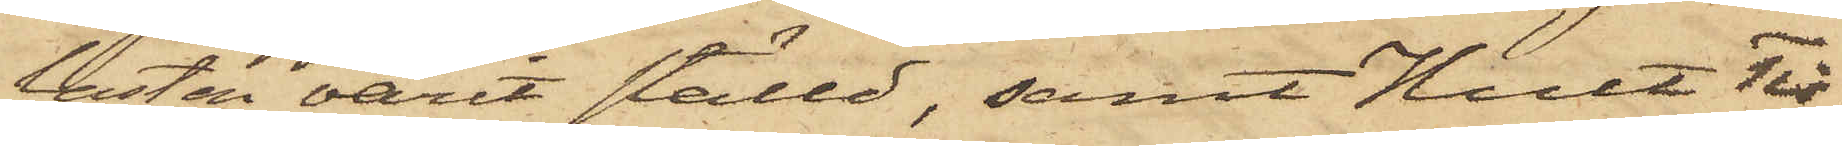lasten varit ställd, samt Hult Tis¬
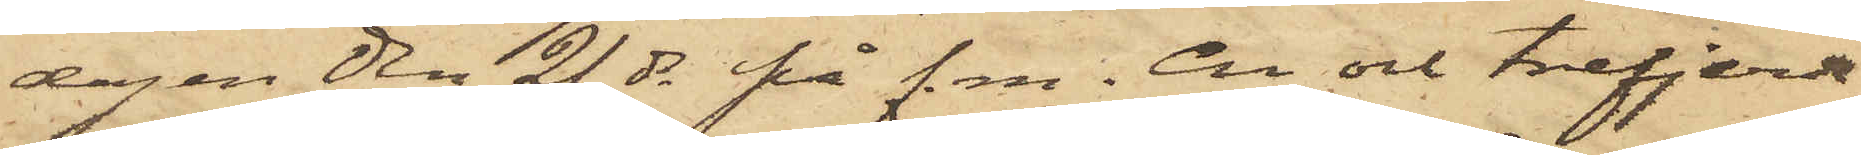dagen den 21 ds på f.m. En och trefjerde¬
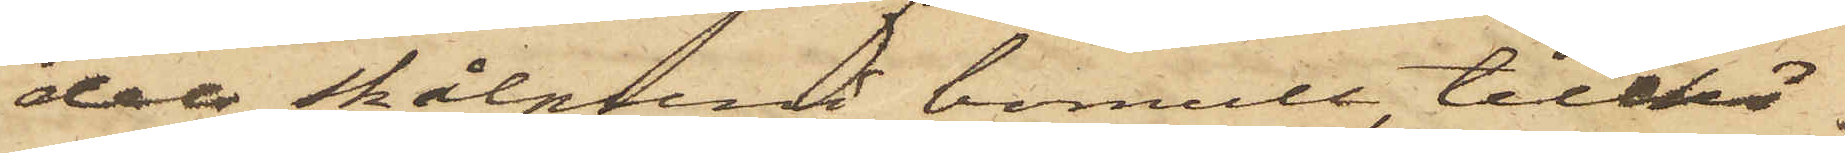dels skålpund bomull tillhö¬
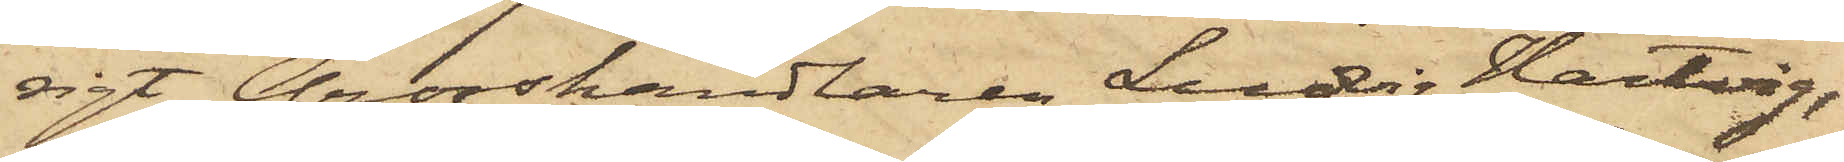rigt Grosshandlaren Ludvig Hartvig,
